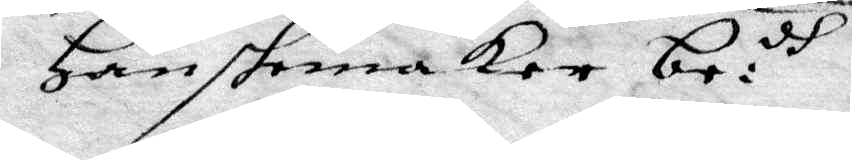Hanskmakare be:dh.
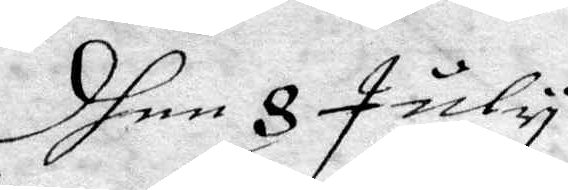dhen 8 July
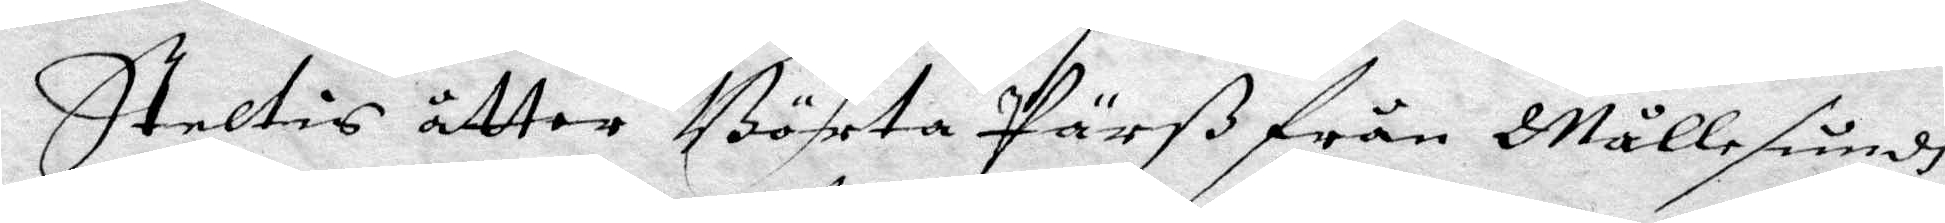Steltis åtter Börta Pärß från Mållesundh
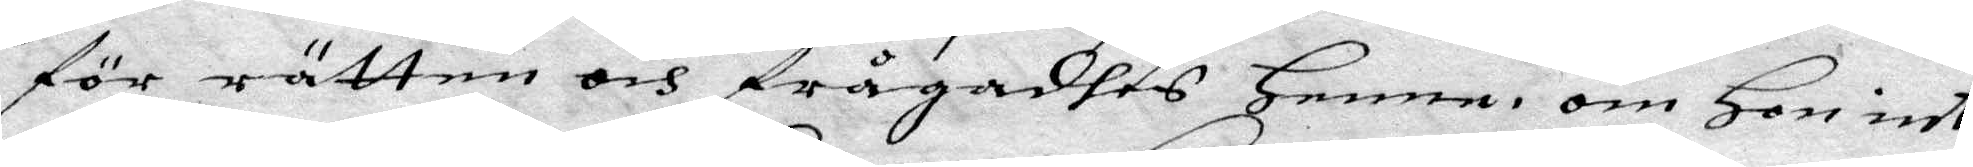för rätten och frågadhes Henne om Hon inte
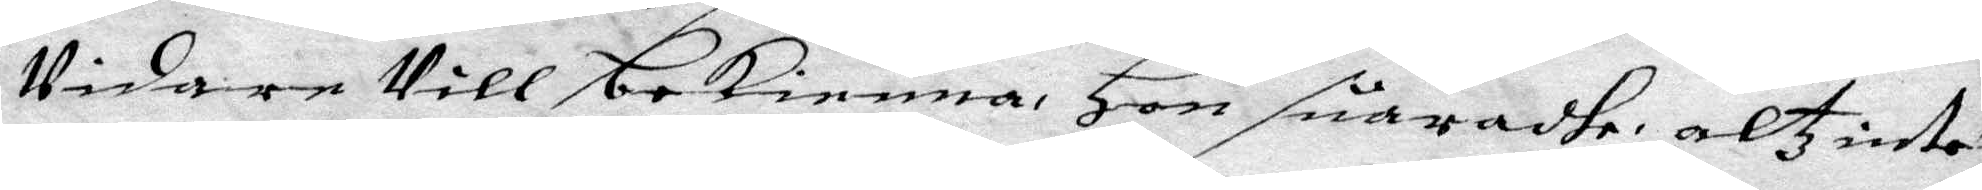Vidare Vill bekienna, Hon suaradhe altz intet
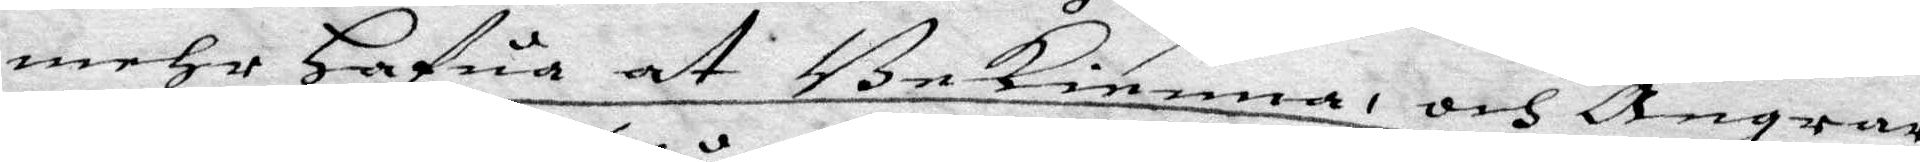mehr Hafua at Bekienna, och Ångrar
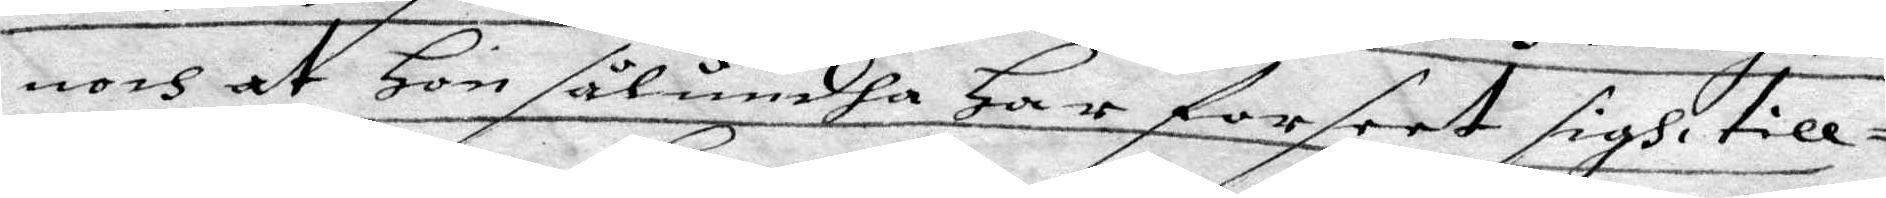noch at Hon sålundha Har forseet sigh till¬
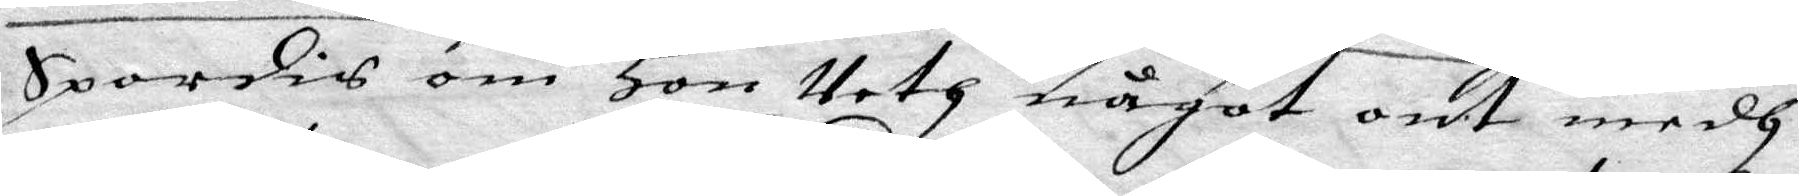Spordis om Hon Veth något ont medh
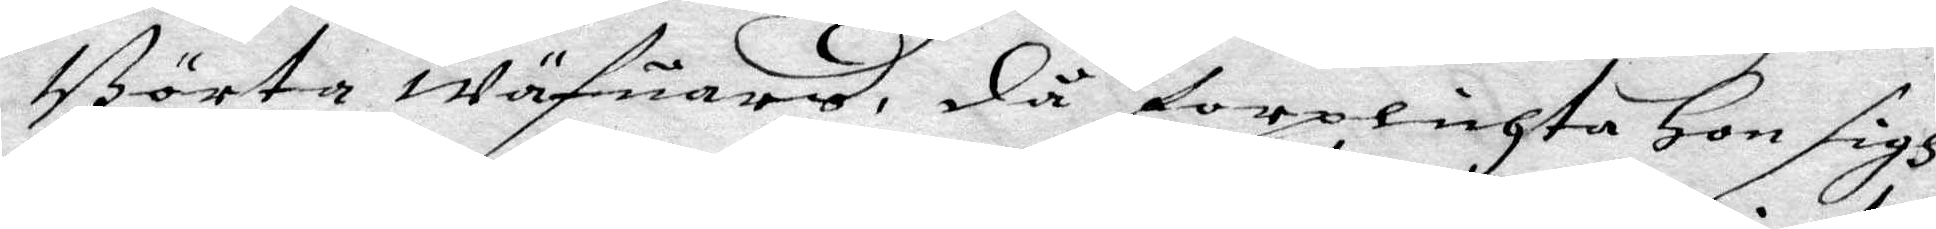Börta wäfuars, då forplichta Hon sigh
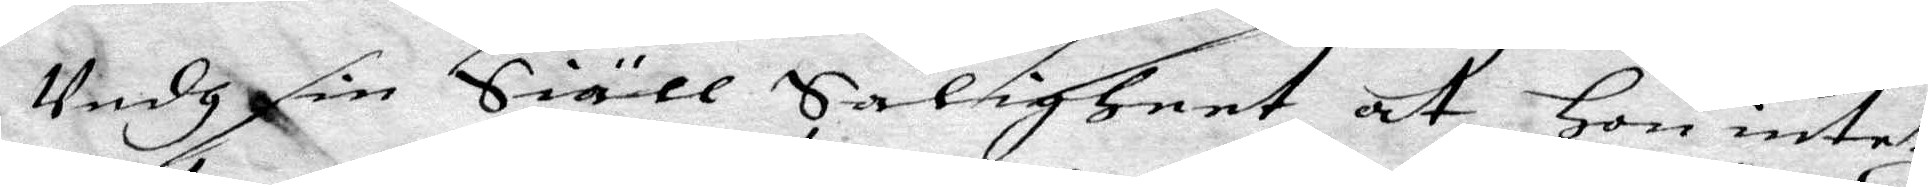Vedh sin Siäll Saligheet at Hon intet
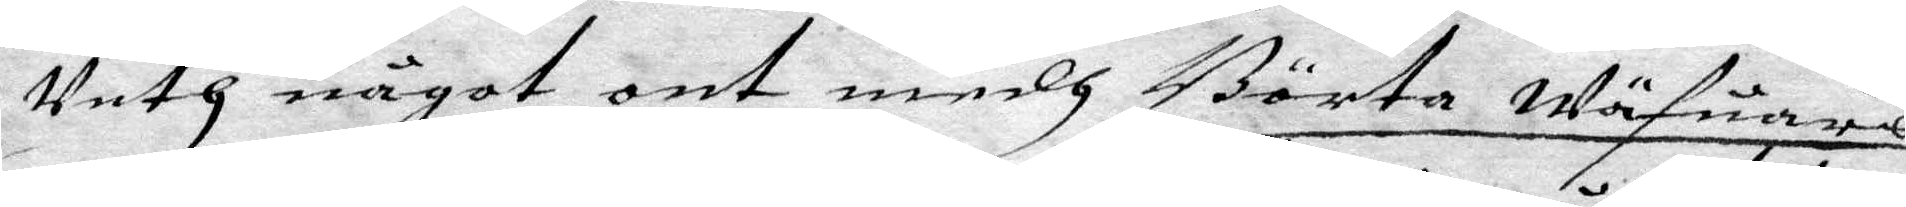Veth något ont medh Börta wäfuares
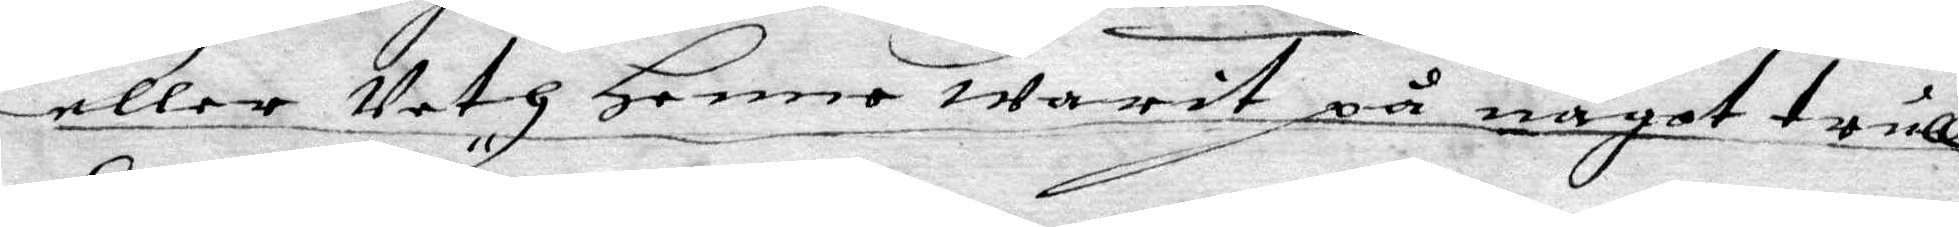eller Vedh Henne warit på något trull¬
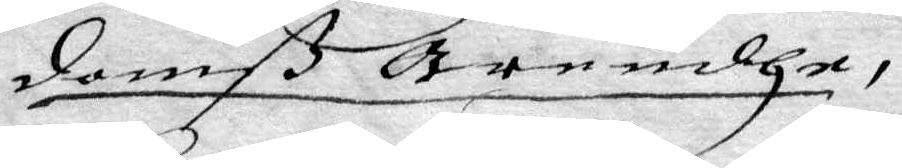domß ärendhe.
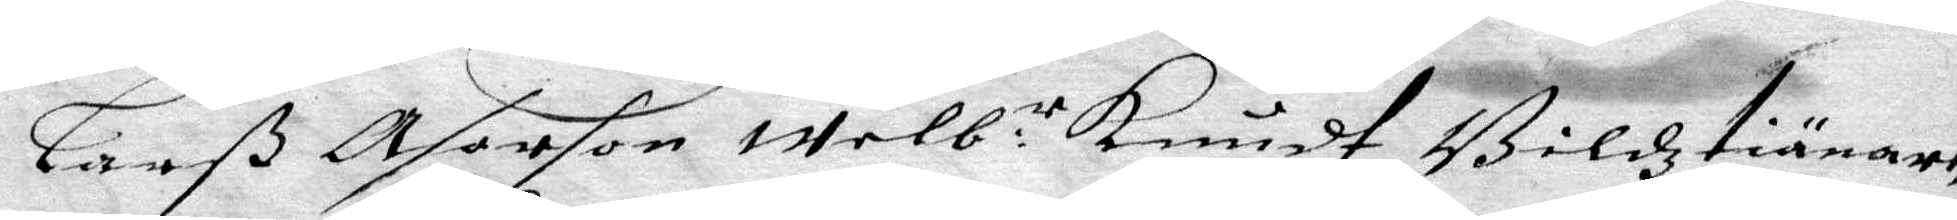Larß Asarson welb:r Knudt Bildz tiänare,
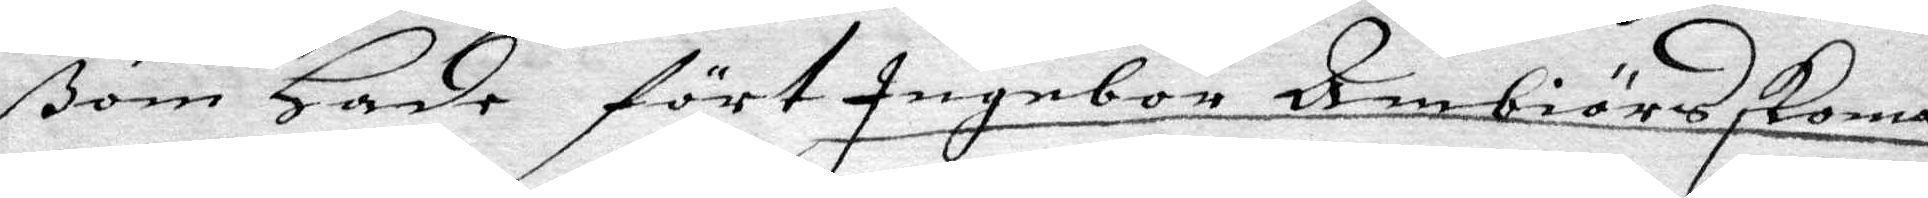ßom Hade fört Ingebor Ambiörs skoma¬
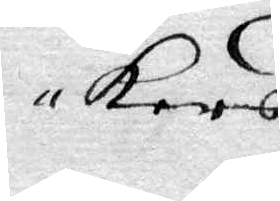kars
